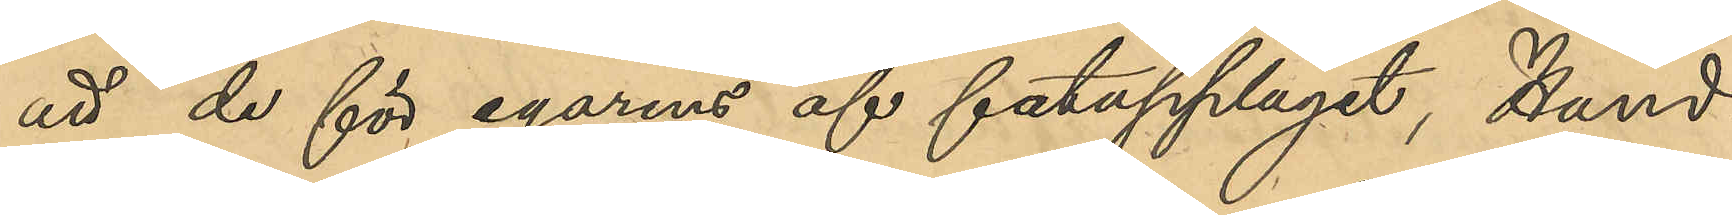att de för egarens af fatupplaget, Hand¬
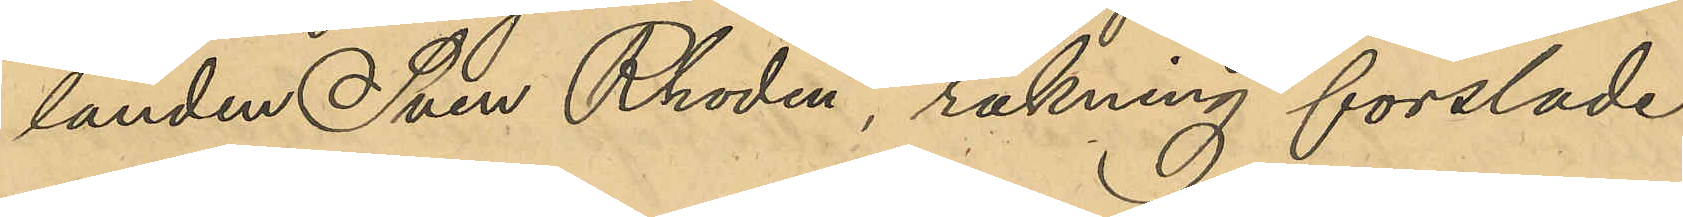landen Sven Rhodin, räkning forslade
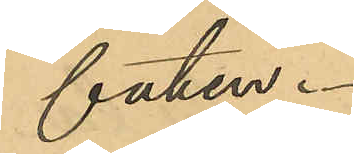faten.
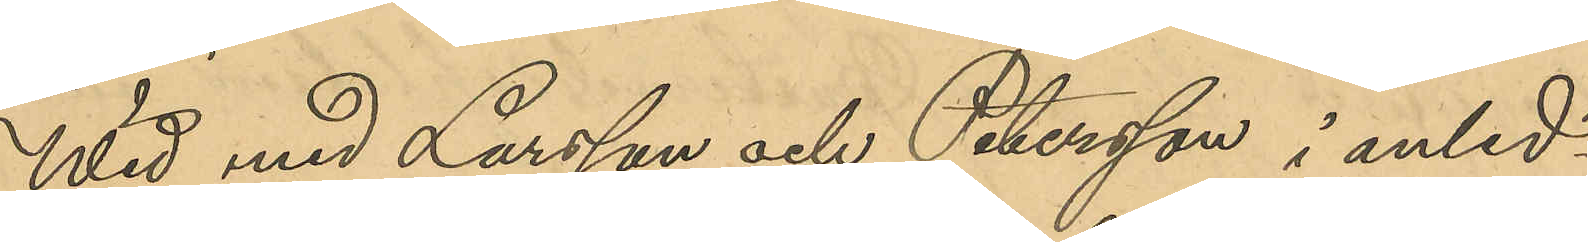Wid med Larsson och Petersson i anled¬
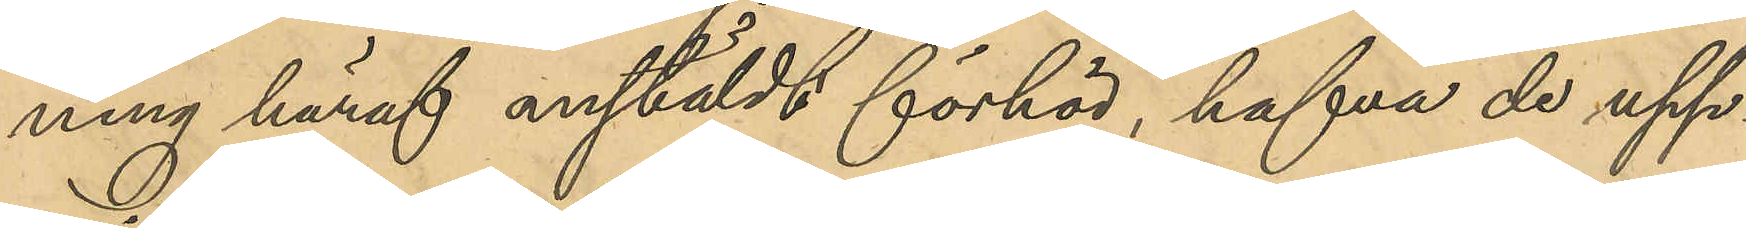ning häraf anstäldt förhör, hafva de upp¬
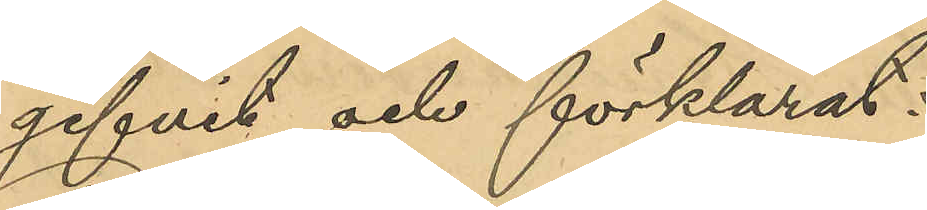gifvit och förklarat.
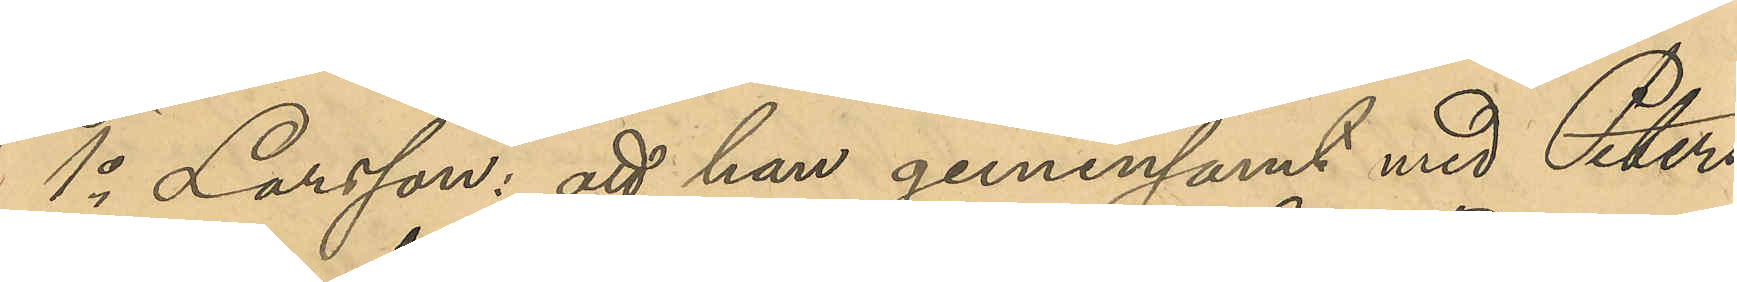1o Larsson: att han gemensamt med Peters¬
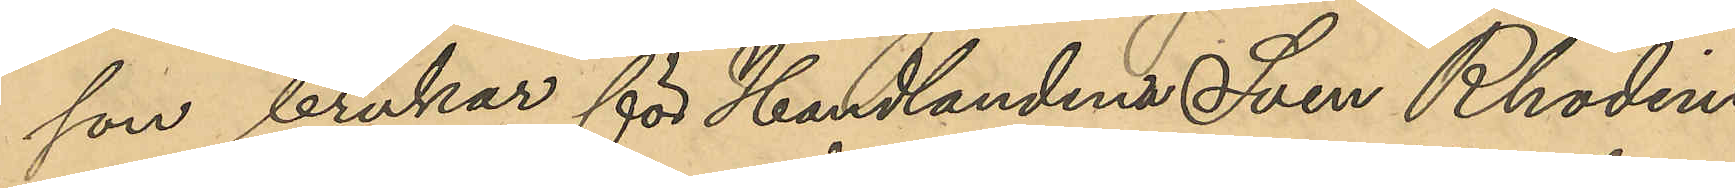son brukar för Handlanden Sven Rhodins
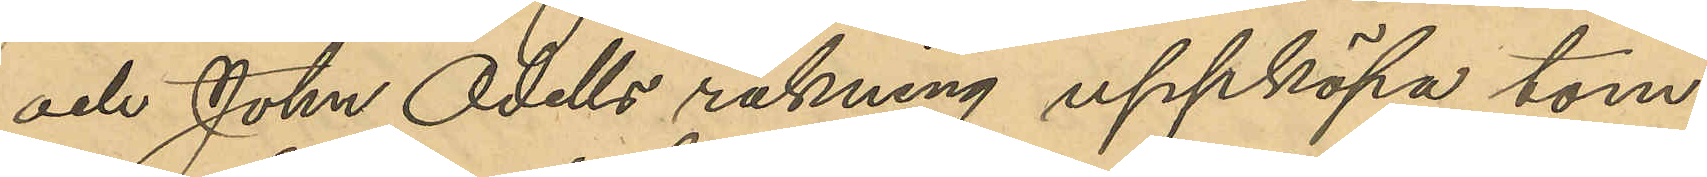och John Odells räkning uppköpa tom¬
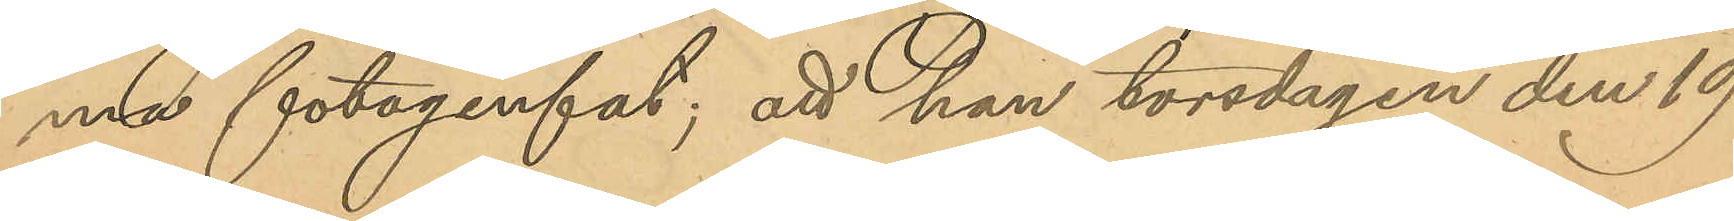ma fotogenfat; att han torsdagen den 19
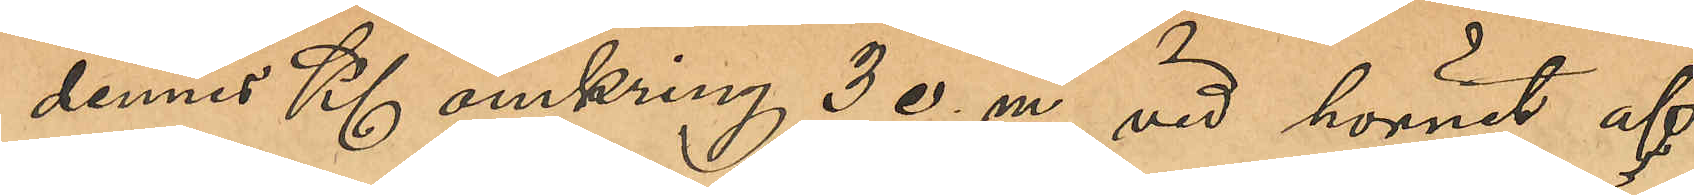dennes Kl omkring 3 e.m., vid hörnet af
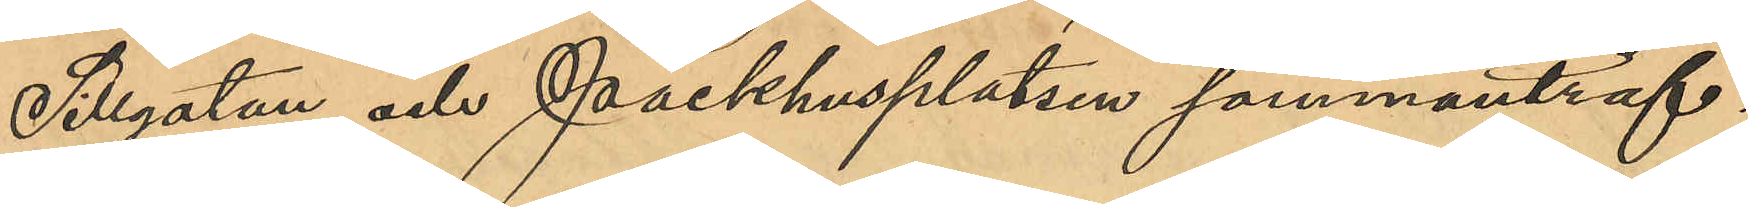Sillgatan och Packhusplatsen sammanträf¬
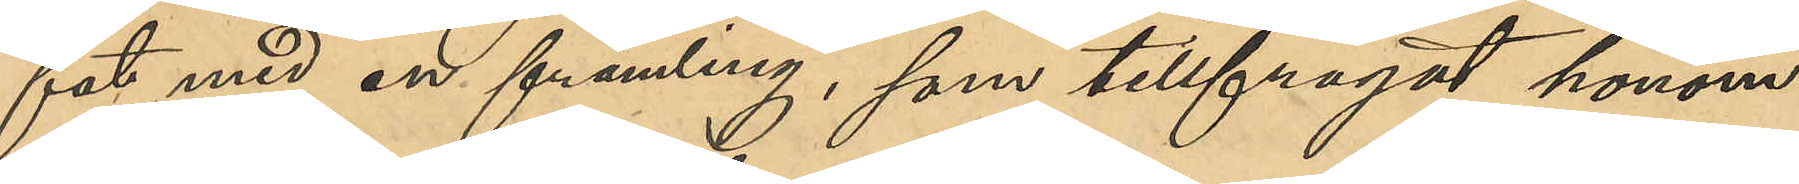fat med en främling, som tillfrågat honom
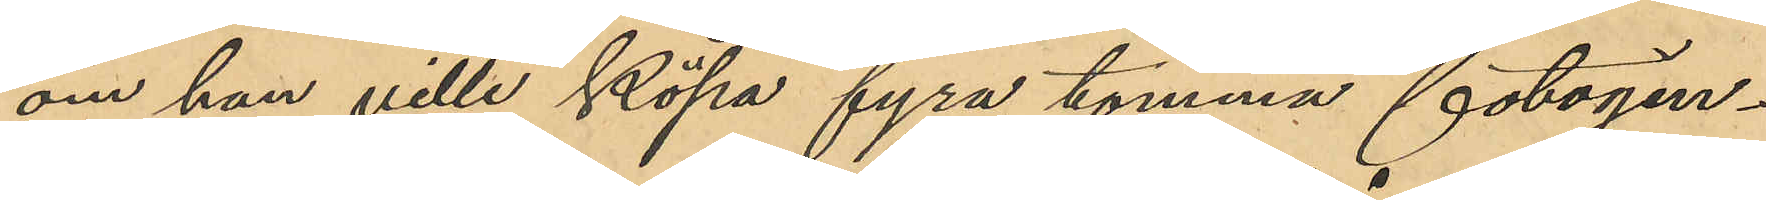om han ville köpa fyra tomma fotogen¬
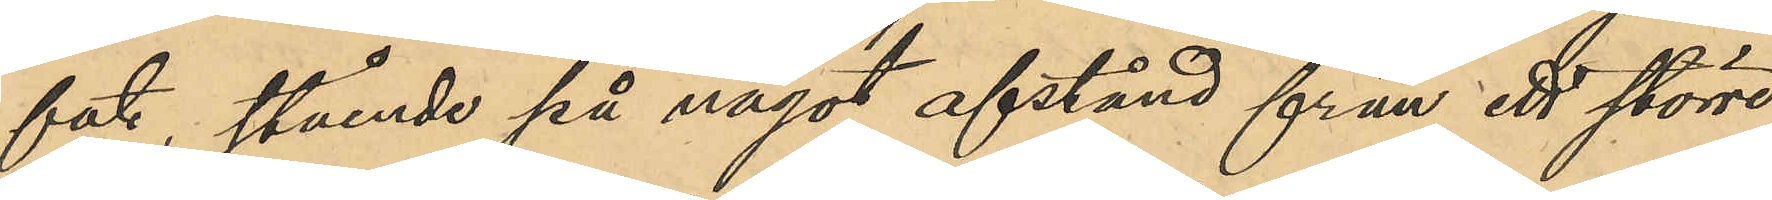fat, stående på något afstånd från ett större
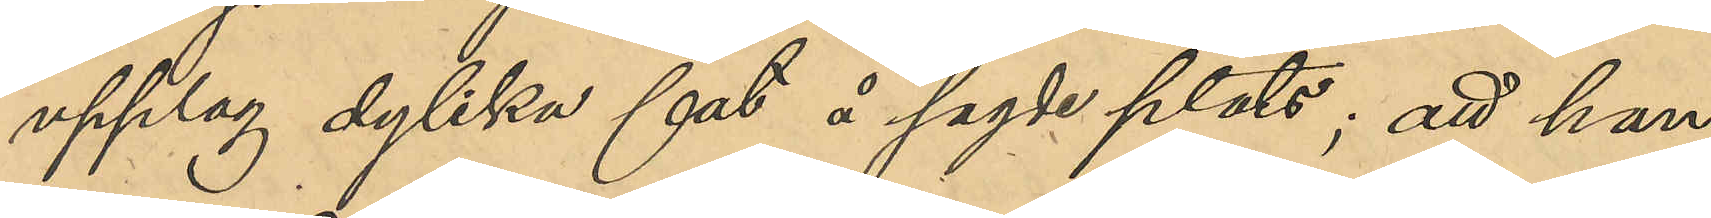upplag dylika fat å sagde plats; att han
